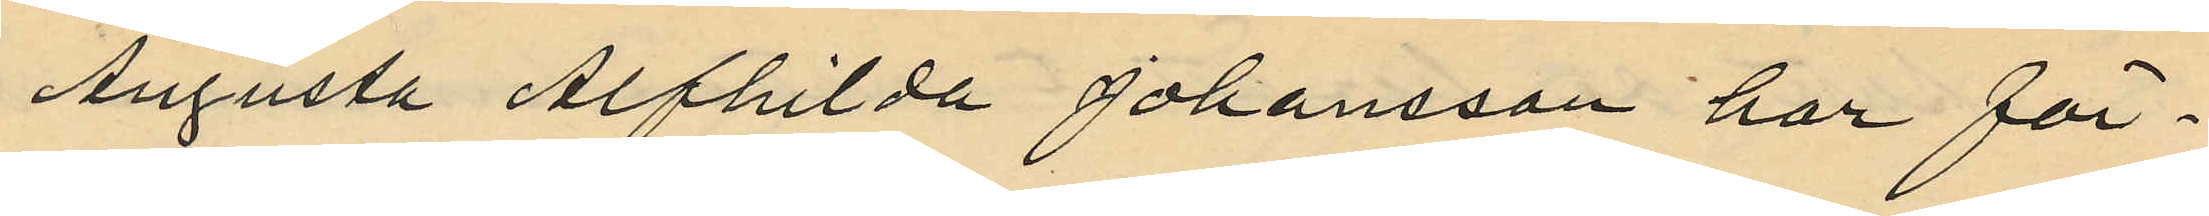Augusta Alfhilda Johansson har för¬
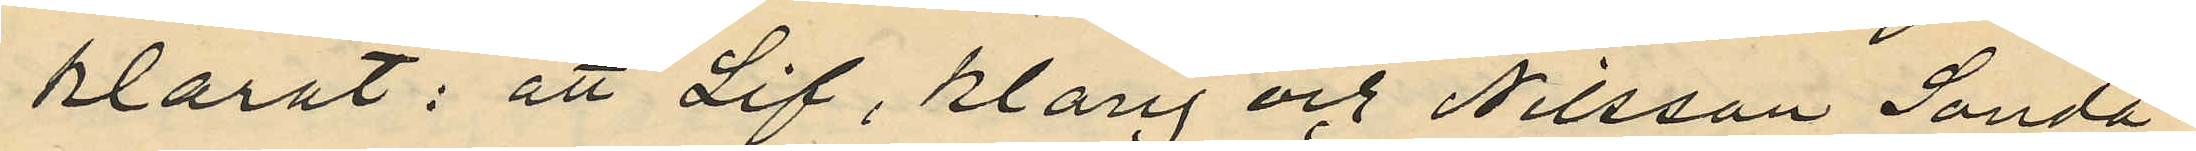klarat: att Lif, Klang och Nilsson Sönda¬
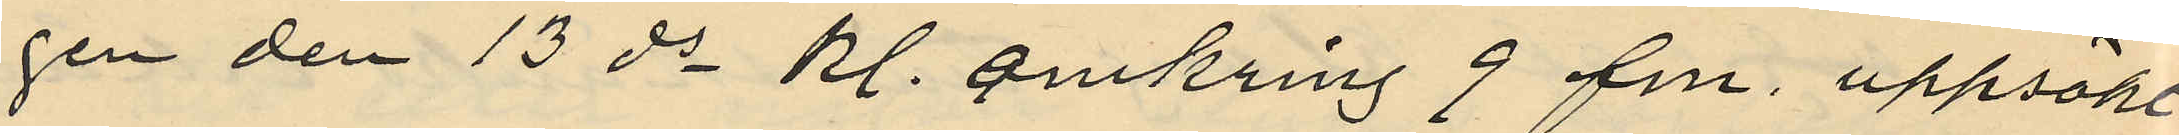gen den 13 ds kl. omkring 9 fm. uppsökt
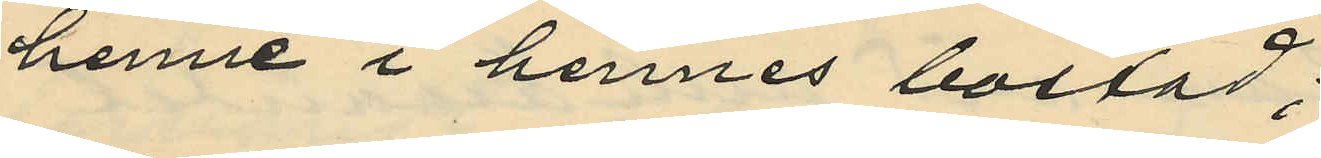henne i hennes bostad;
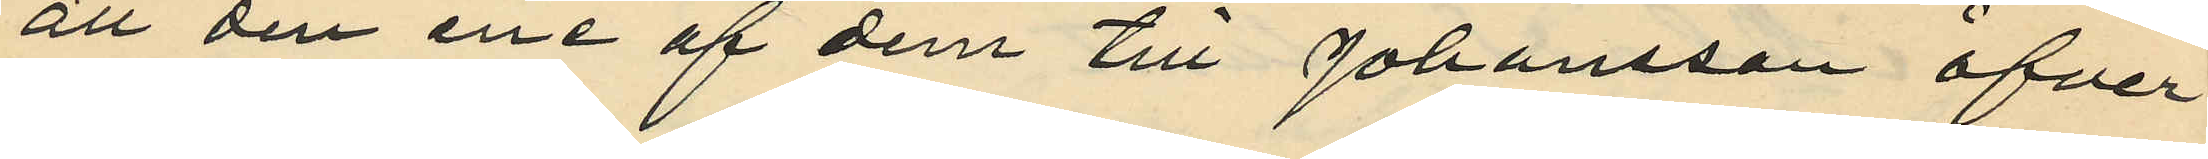att den ene af dem till Johansson öfver¬
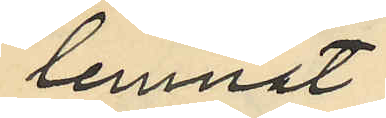lemnat
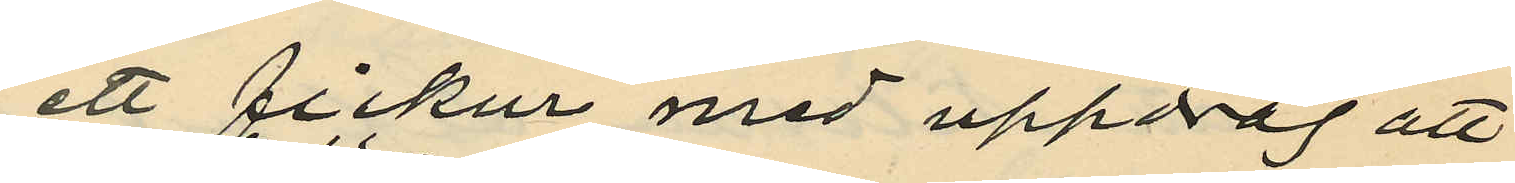ett fickur med uppdrag att
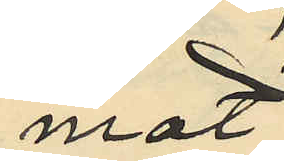mot
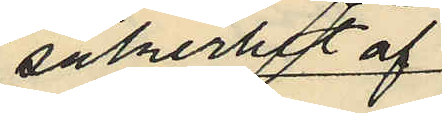säkerhet af
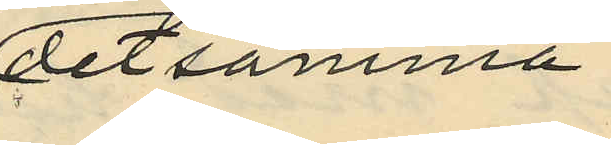detsamma
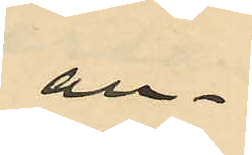an¬
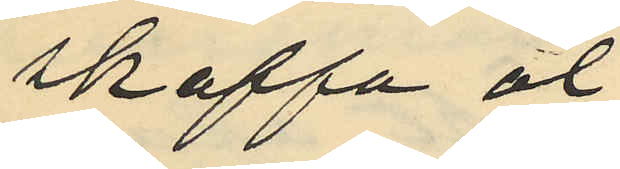skaffa öl;
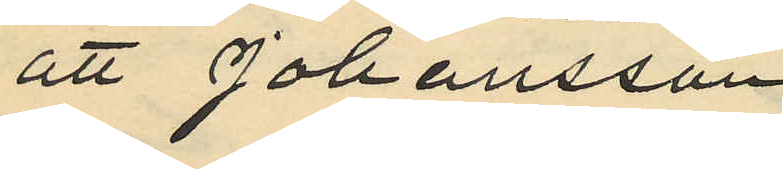att Johansson
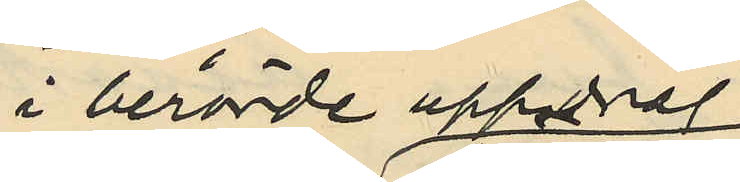i berörde uppdrag
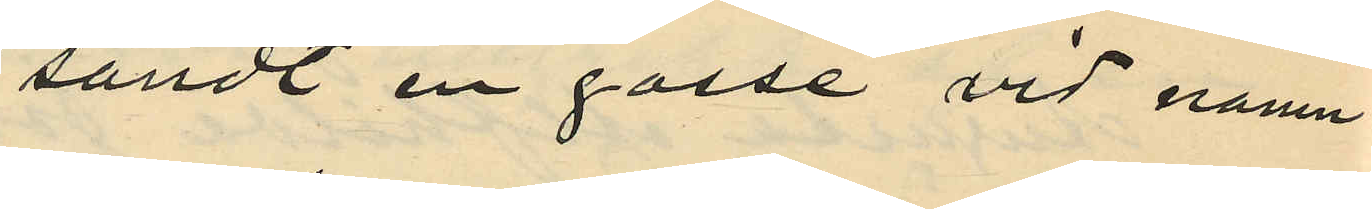sändt en gosse vid namn
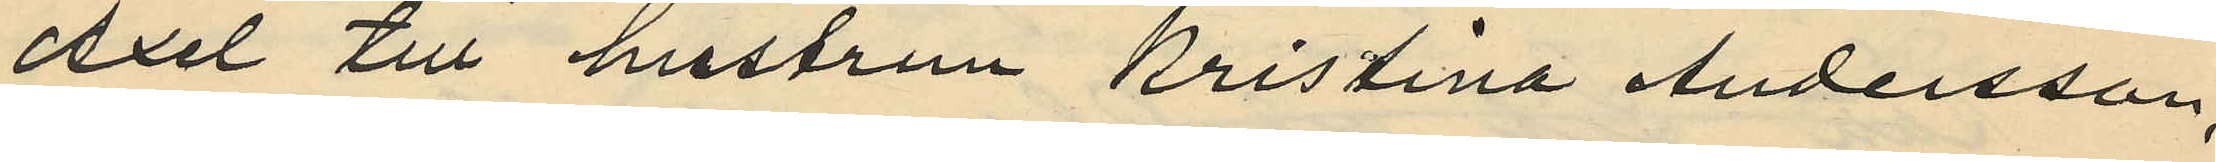Axel till hustrun Kristina Andersson,
